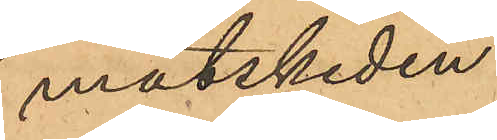matskeden
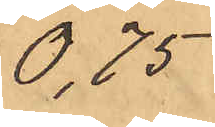0,75
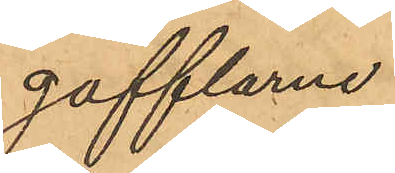gafflarne
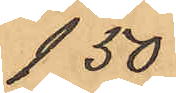1,50
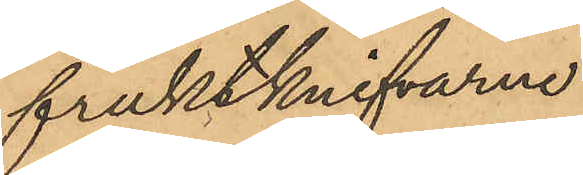fruktknifarne
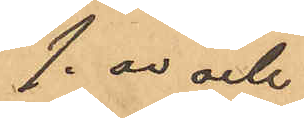1,00 och
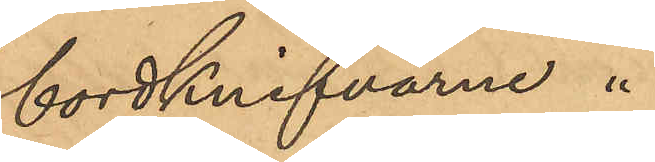bordknifvarne
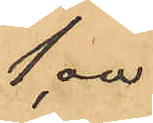1,00
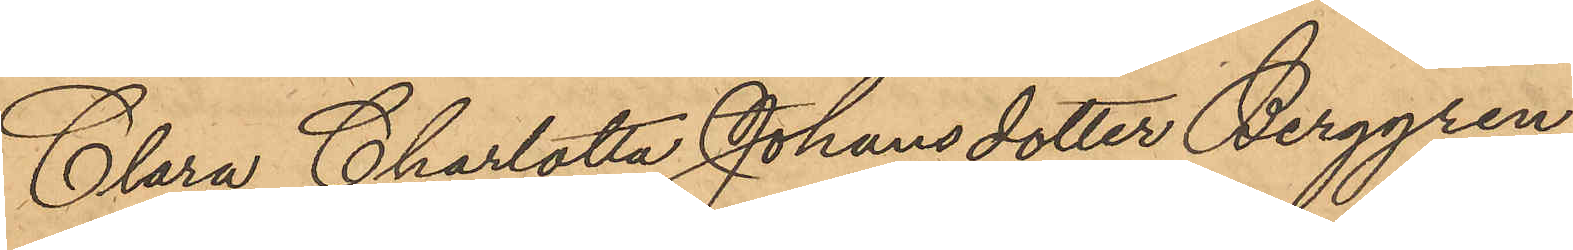Clara Charlotta Johansdotter Berggren
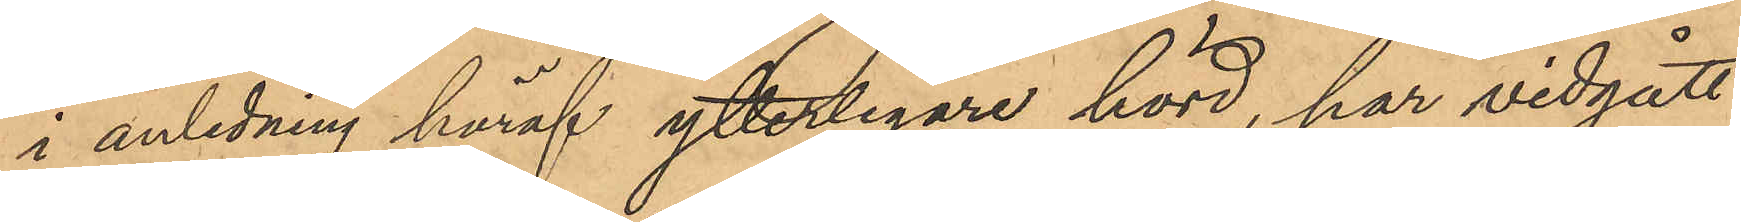i anledning häraf ytterligare hörd, har vidgått
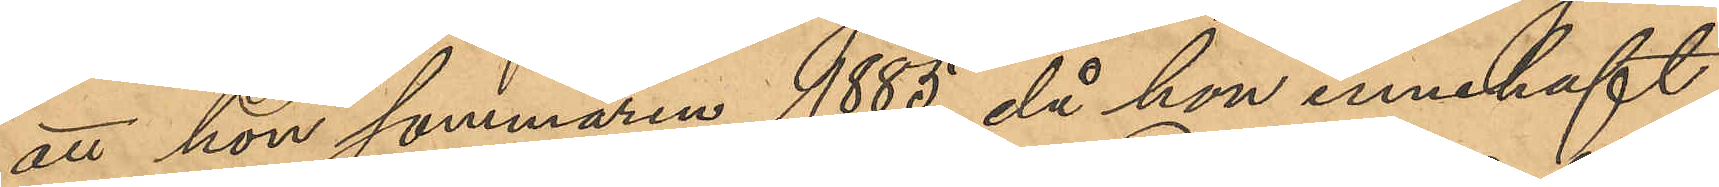att hon sommaren 1885, då hon innehaft
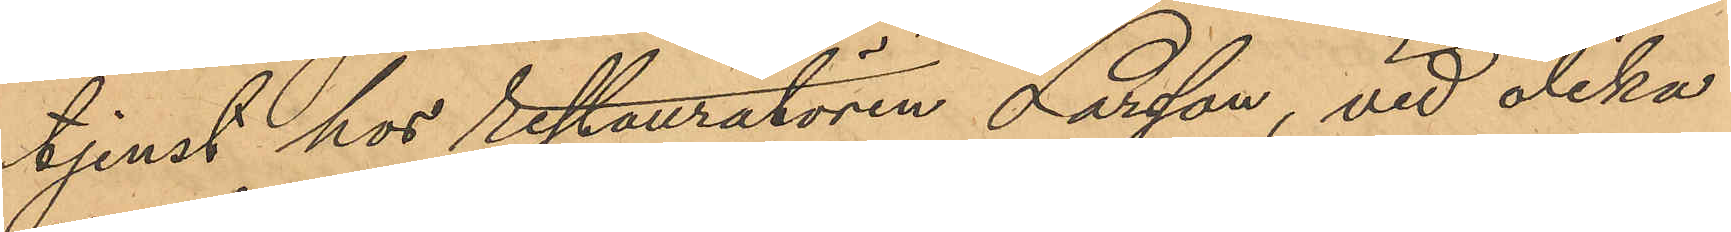tjenst hos restauratören Larsson, vid olika
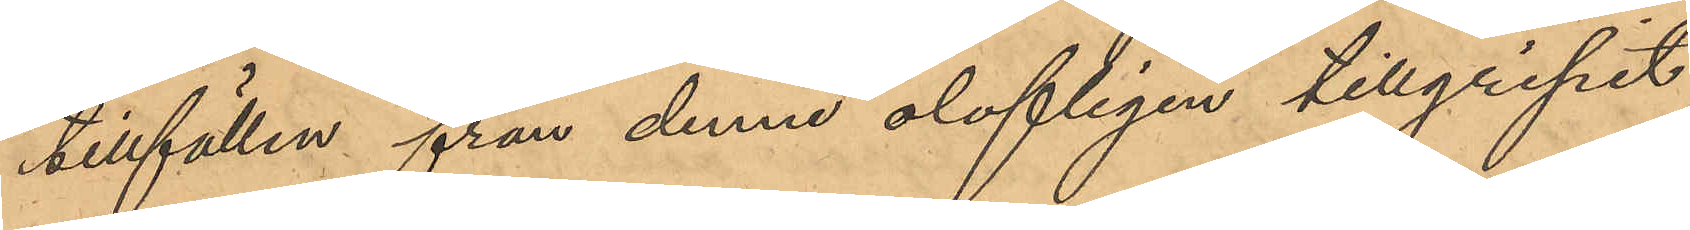tillfällen från denne olofligen tillgripit
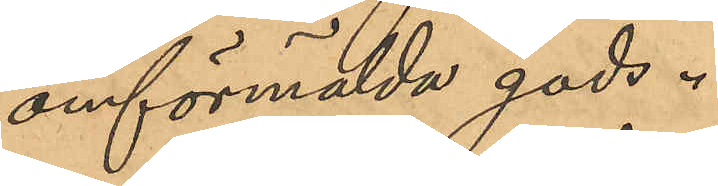omförmälda gods.
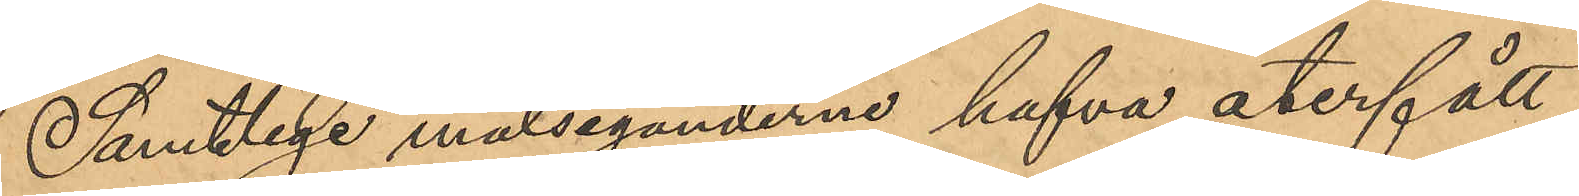Samtlige målseganderne hafva återfått
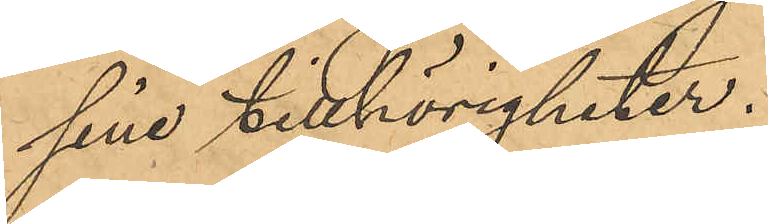sine tillhörigheter.
